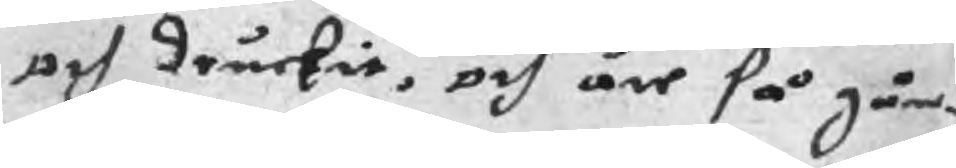och druckit, och äre så gån¬
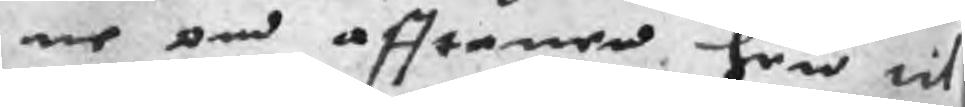ne om afftonen hem til
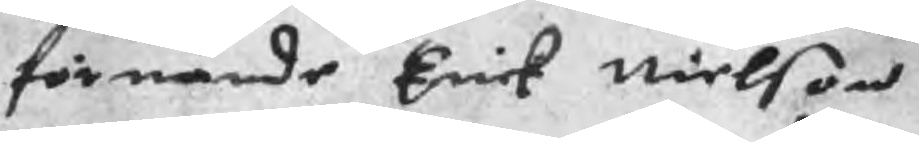förnämde Erick Nielson
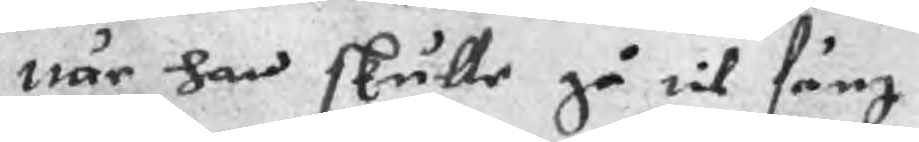när han skulle gå til säng
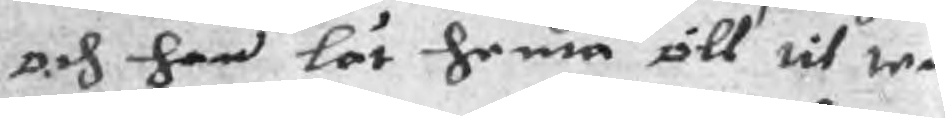och han lät henta öll til thet
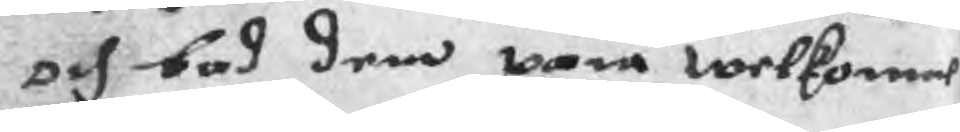och bod dem vara welkomne
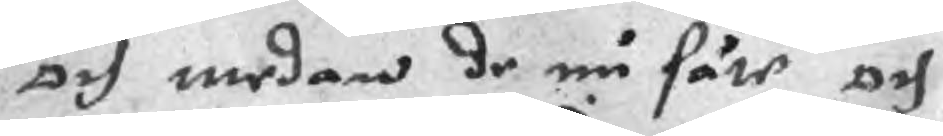och medan de nu säte och
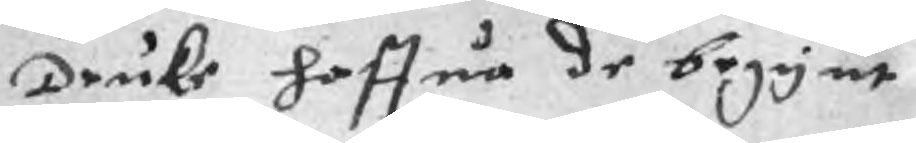Druke haffua de begynt
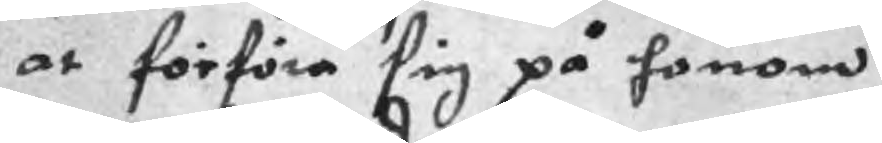at förföra sig på honom
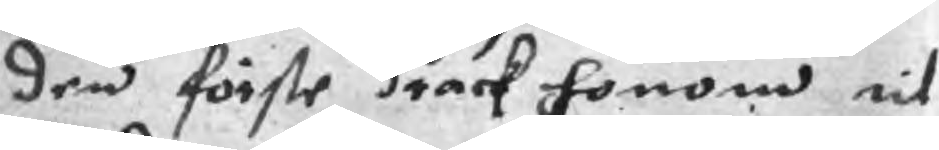den förste drack honom til
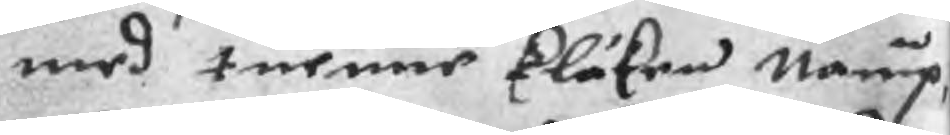med tuenne klåken nampn,
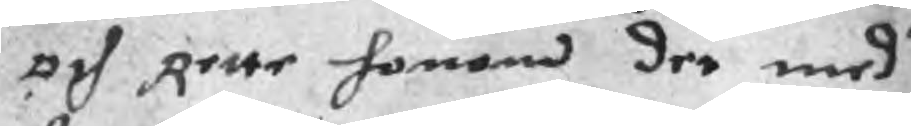och Rette honom der med
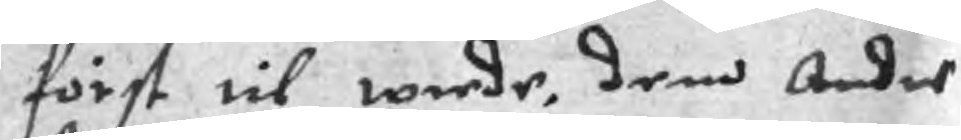först til wrede, dem Andre
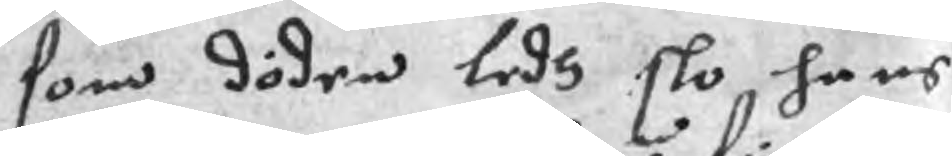som döden ledh slo hans
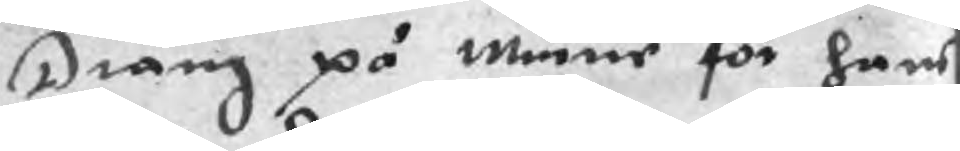Dräng på munnen för hans
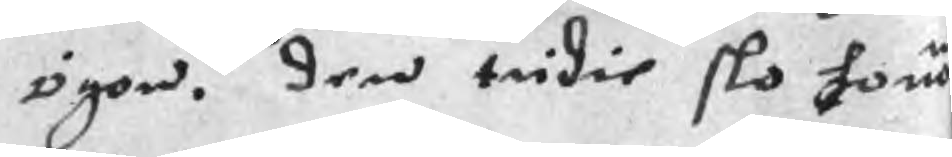ögon. den tridie slo honom
